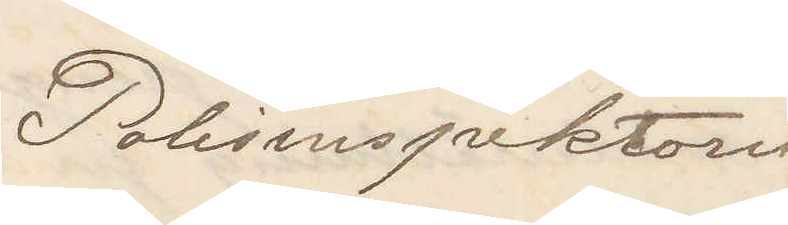Polisinspektorn
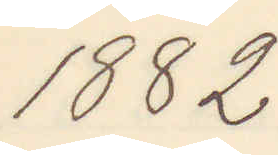1882
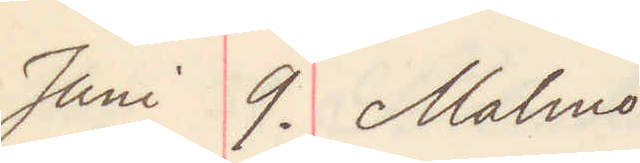Juni 9. Malmö.
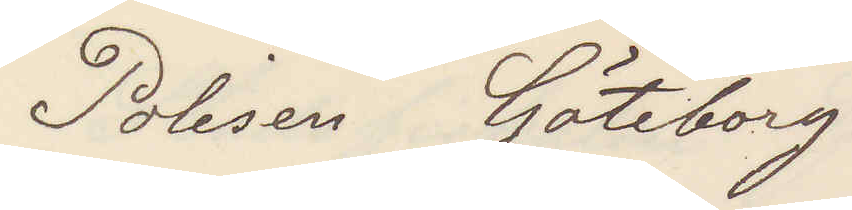Polisen Göteborg
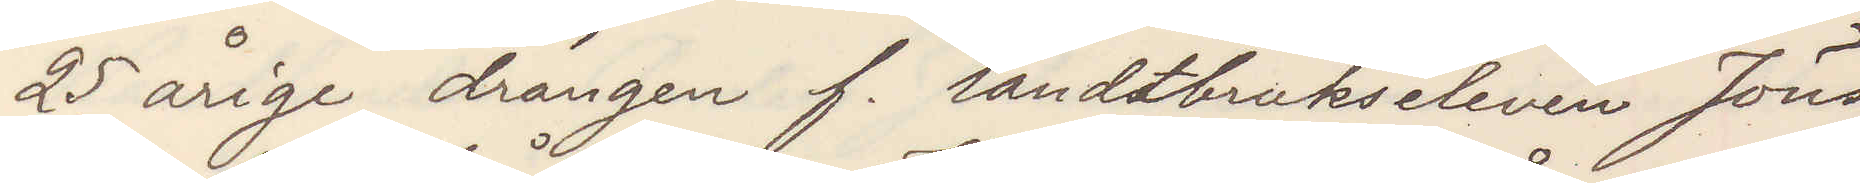25 årige drängen f. landtbrukseleven Jöns
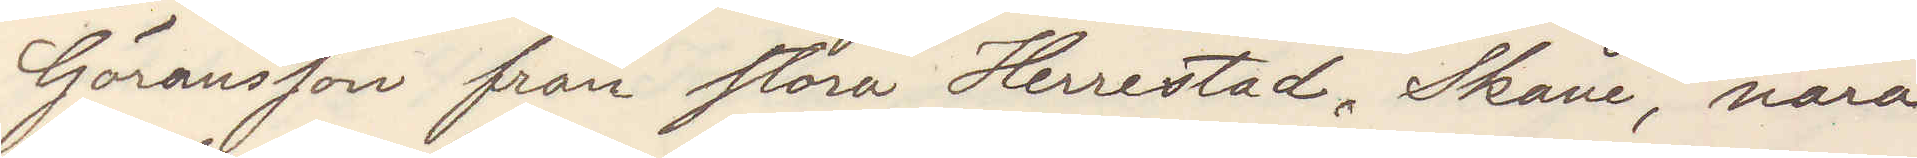Göransson från stora Herrestad, Skåne, nära
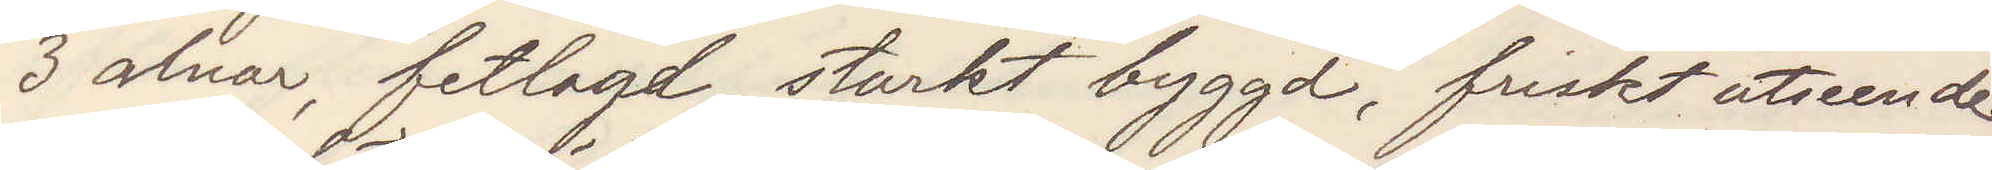3 alnar, fetlagd, starkt byggd, friskt utseende
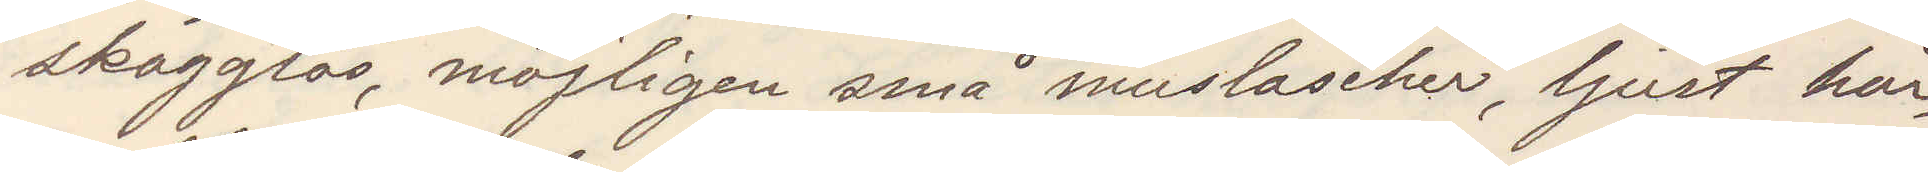skägglös, möjligen små mustascher, ljust hår,
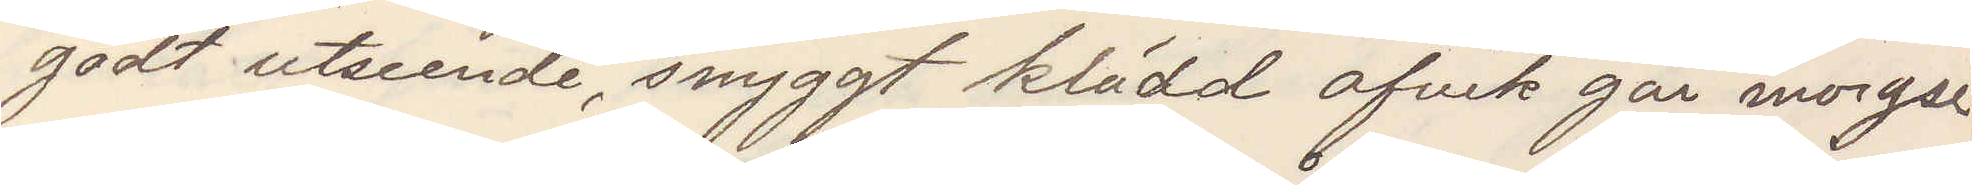godt utseende, snyggt klädd afvek går morgse
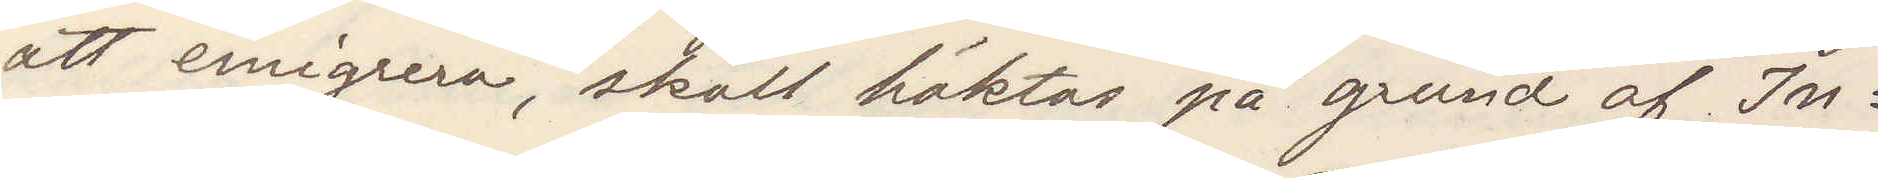att emigrera, skall häktas på grund af In¬
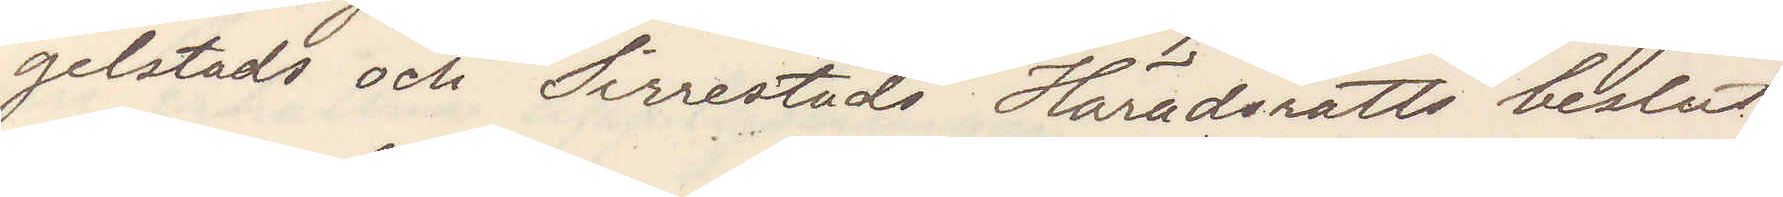gelstads och Sirrestads Häradsrätts beslut.
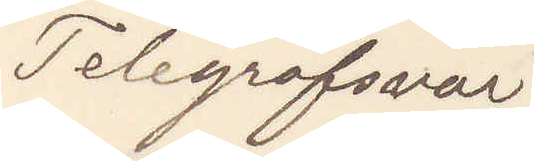Telegrafsvar
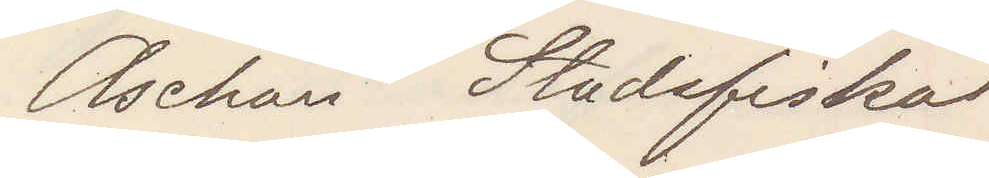Aschan Stadsfiskal
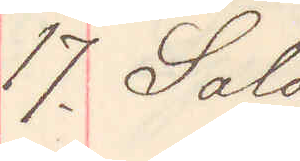17. Sala
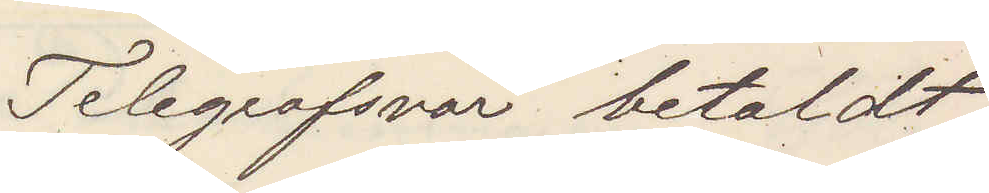Telegrafsvar betalt
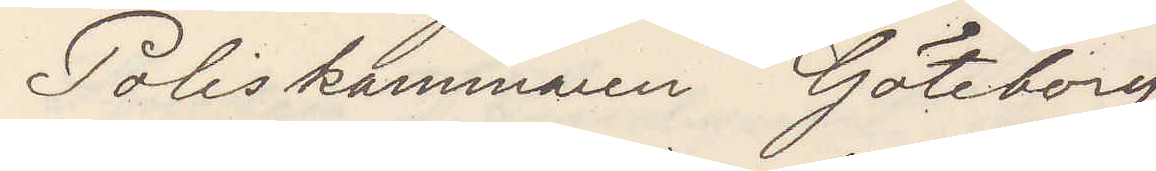Poliskammaren Göteborg
